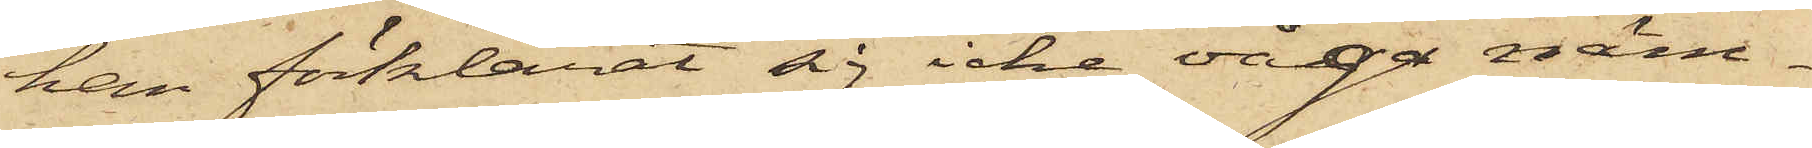han förklarat sig icke våga näm¬
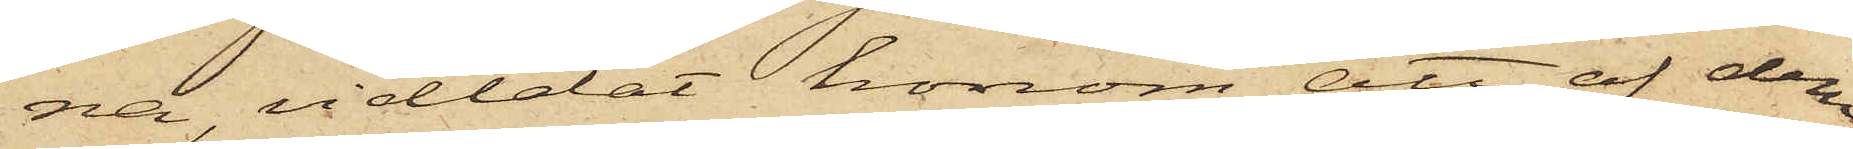na, vidtalat honom att af dem
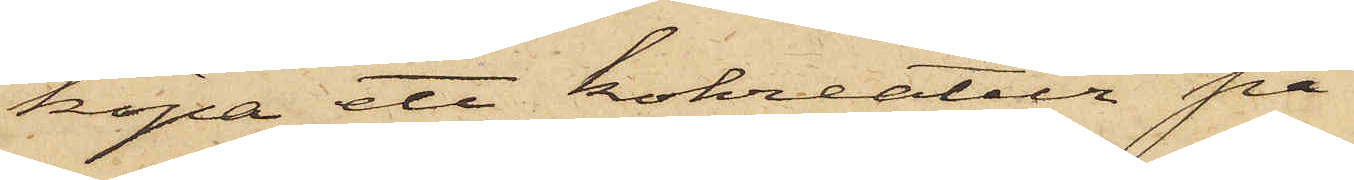köpa ett kokreatur på
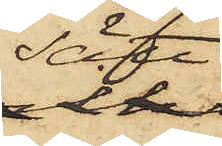sätt
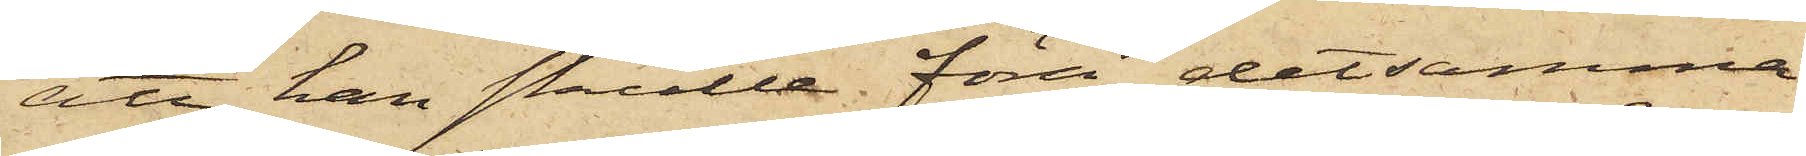att han skulle föra detsamma
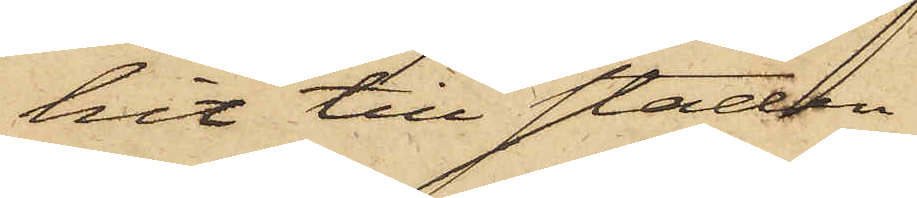hit till staden
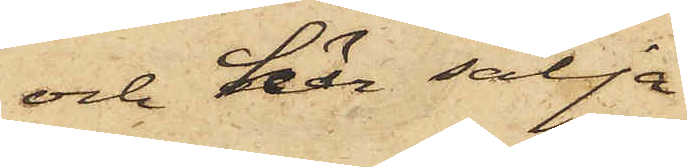och här sälja
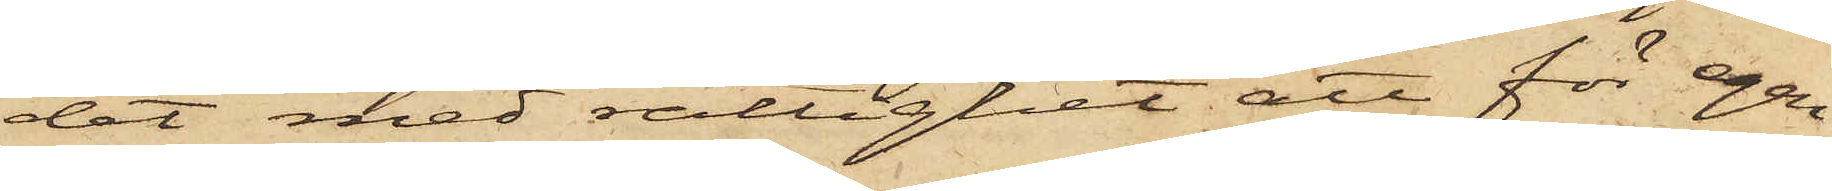det med rättighet att för egen
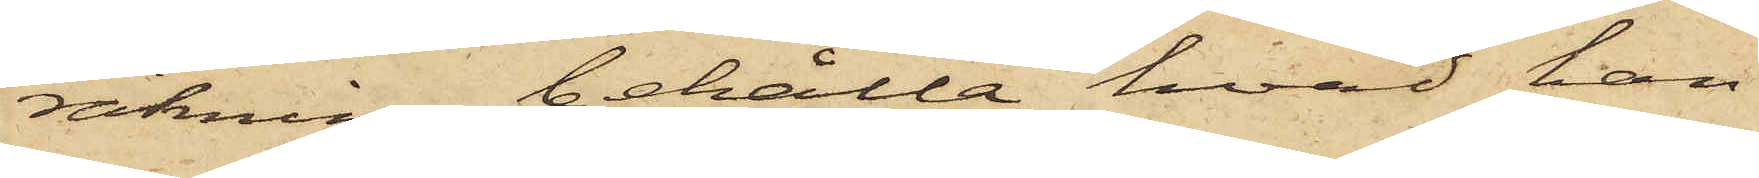räkning behålla hvad han
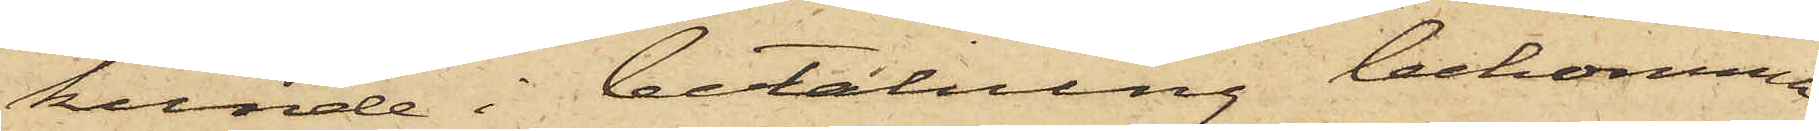kunde i betalning bekomma
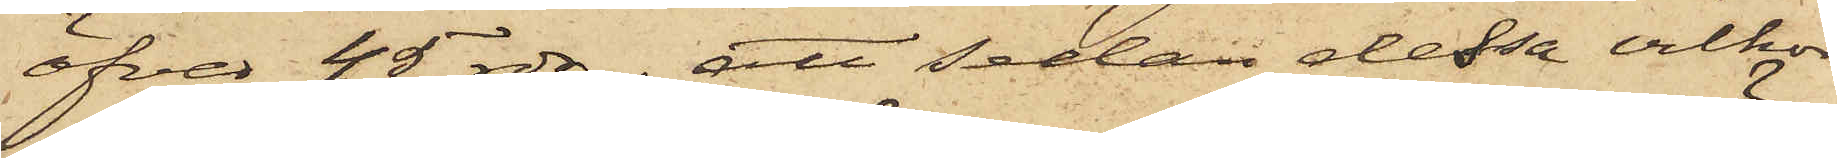öfver 45 rdr; att sedan dessa vilkor
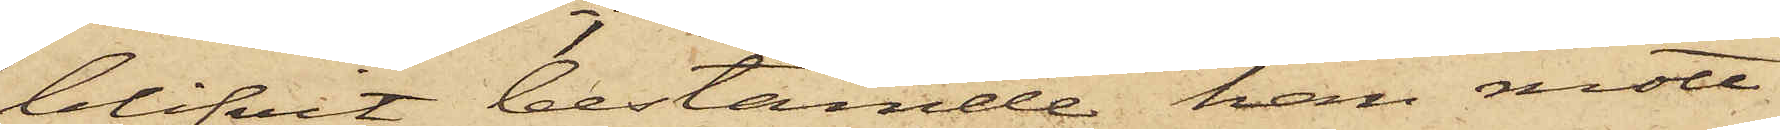blifvit bestämde han mött
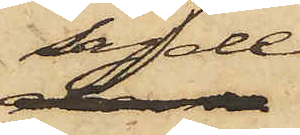sagde
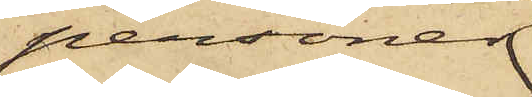personer
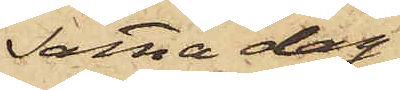samma dag
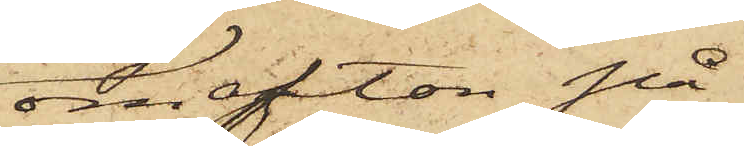om afton på
